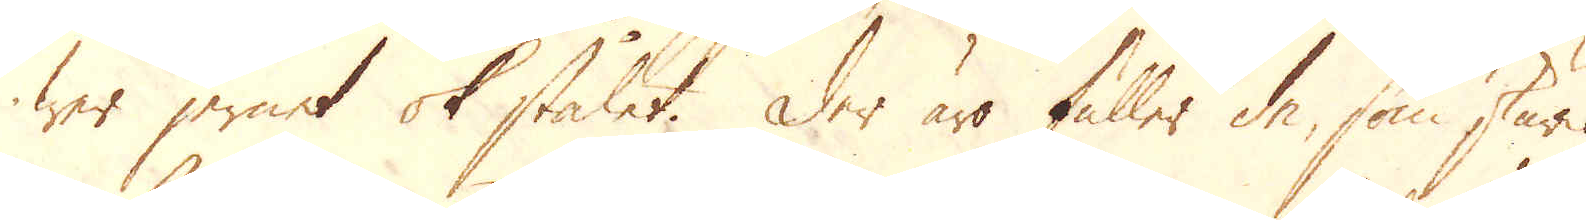wer jernet ok stålet, der äro fuller de, som skurit
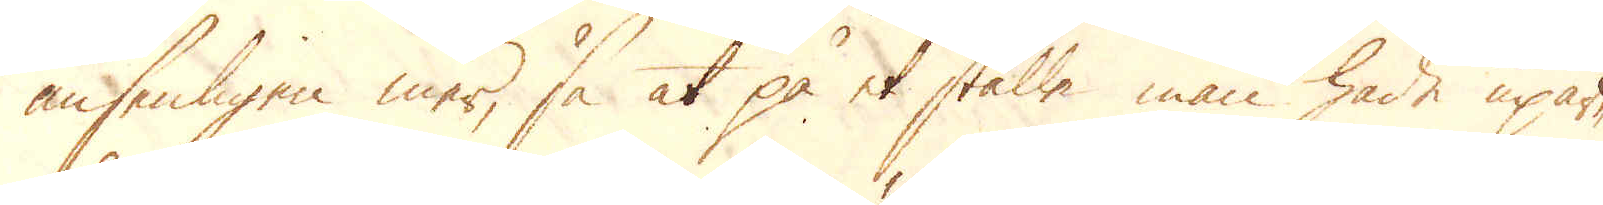ansenligen mer, så at på et ställe man hade upar-
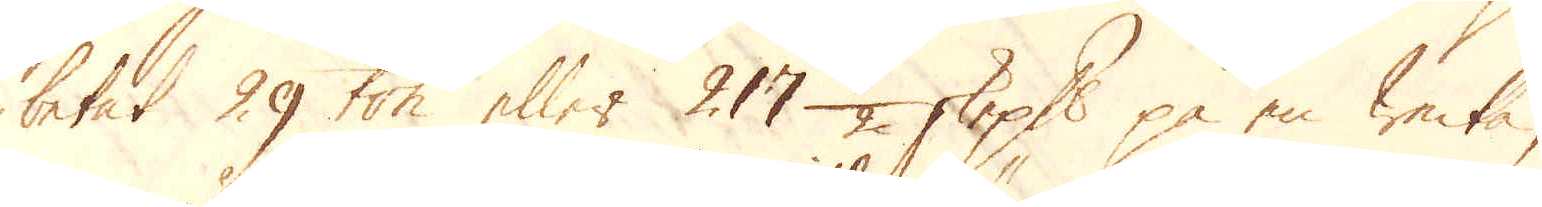betat 29 ton eller 217 1/2 skeppund på en Wecka,
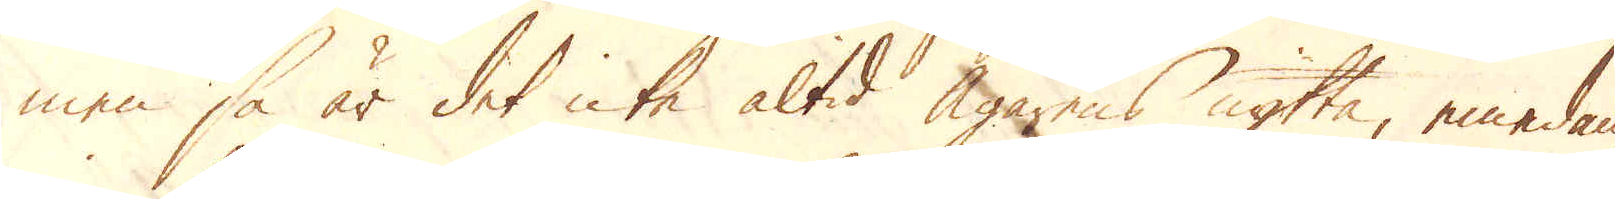men så är det icke altid Ägarens nytta, emedan
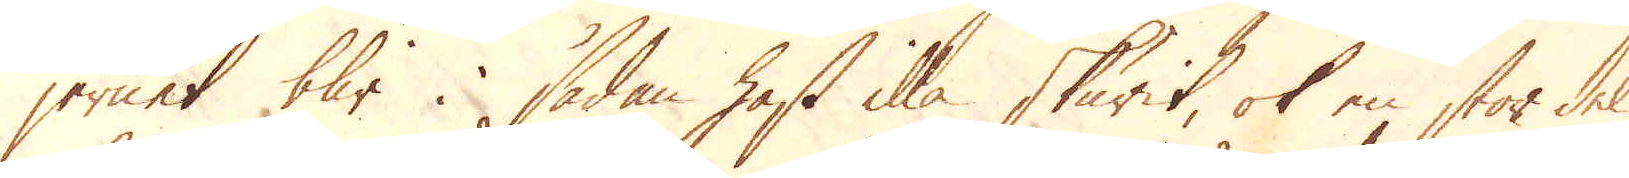jernet blir i sådan hast illa skurit, ok en stor del
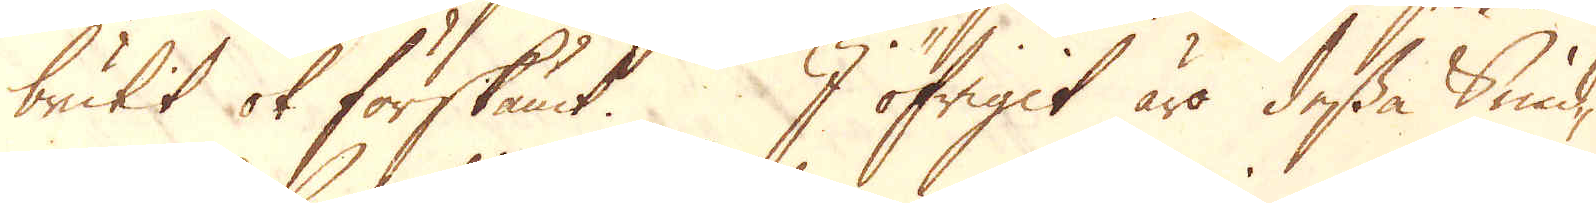brutit ok förskämt. I öfrigit äro dessa Smid-
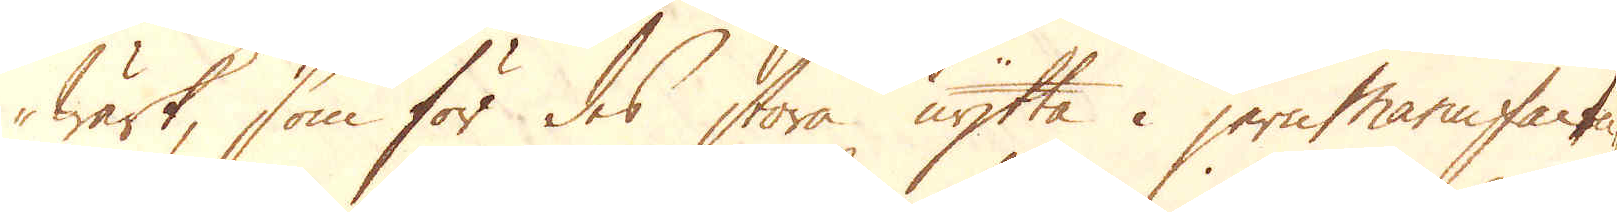Wärk, som för des stora nytta i jernmanufactu-
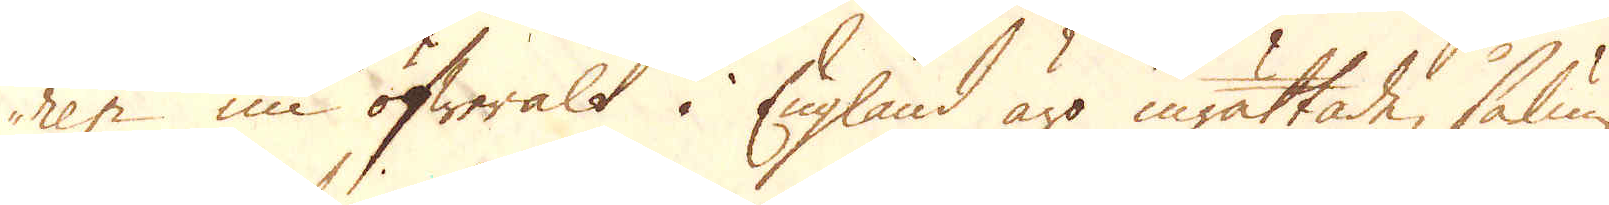ren nu öfweralt i England äro inrättade, sålun-
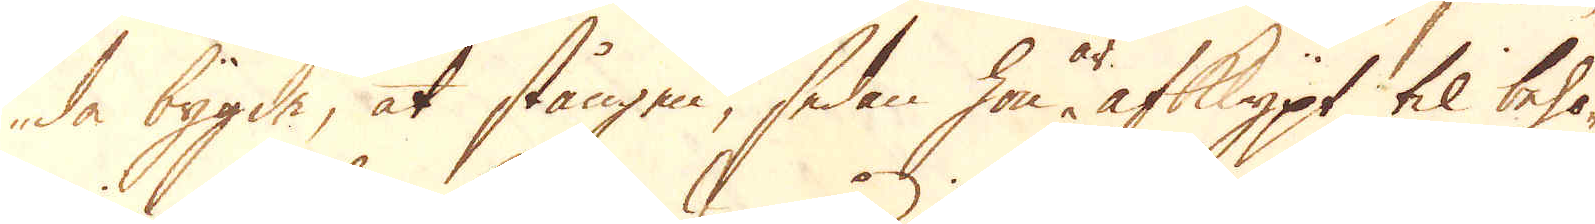da bygde, at stången, sedan hon är afklippt til behö-
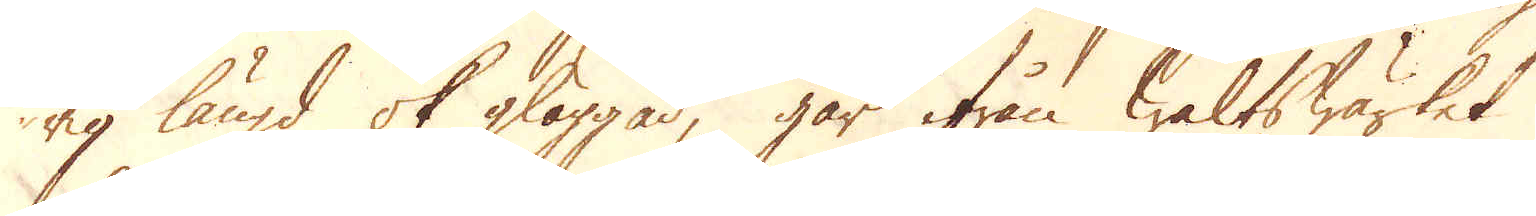rig längd ok glöggad, går ifrån Waltswärket
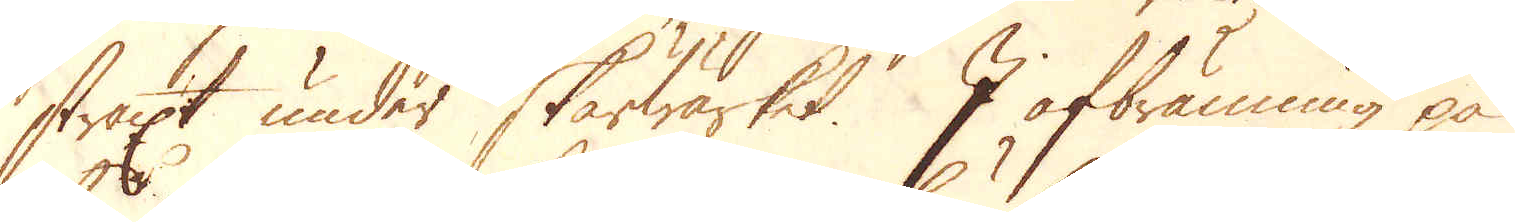straxt under Skärwärket. I afbränning på
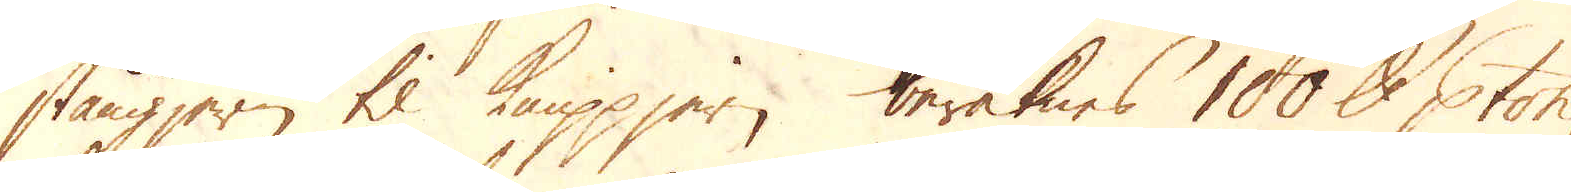stångjern til Knippjern beräknas 100 skålpund p ton;
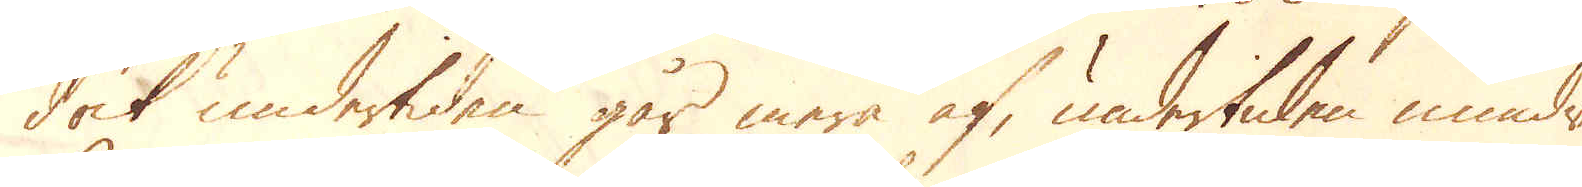dock undertiden går mera af, undertiden mindre.
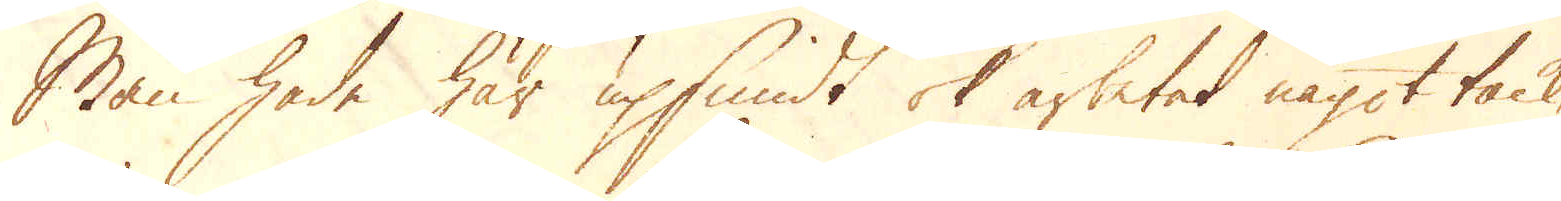Man hade här upsmidt ok arbetat något tack-
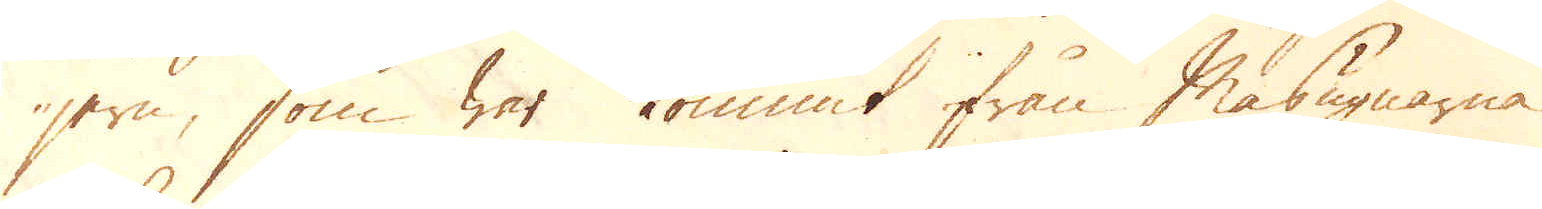jern, som war kommit ifrån Masugnarna
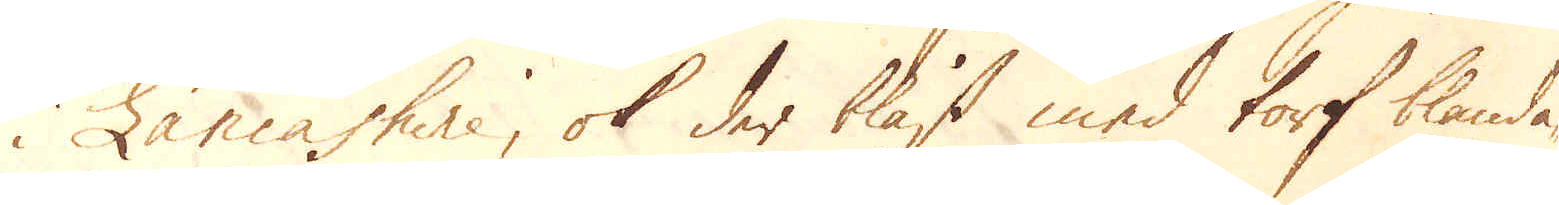i Lacashire, ok der blåst med torf blanda-
